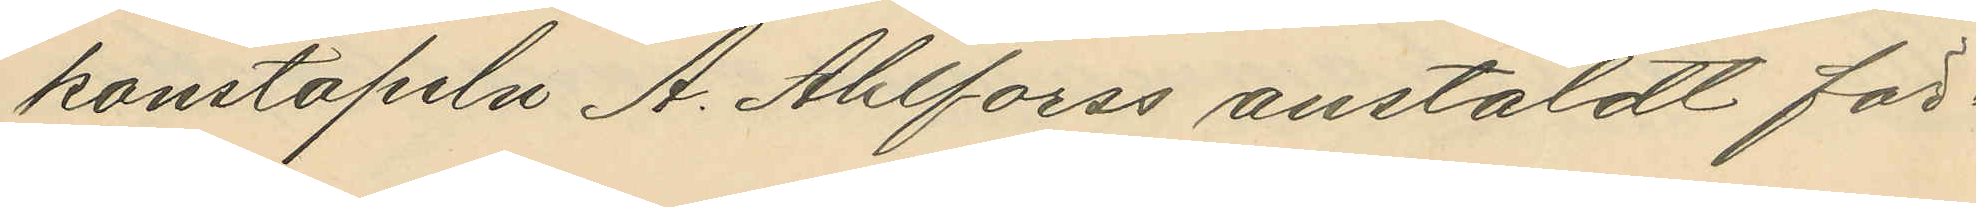konstapeln A. Ahlforss anstäldt för¬
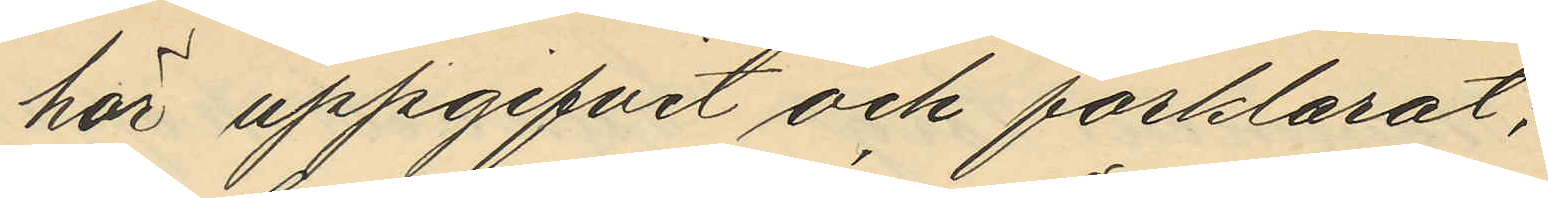hör uppgifvit och förklarat;
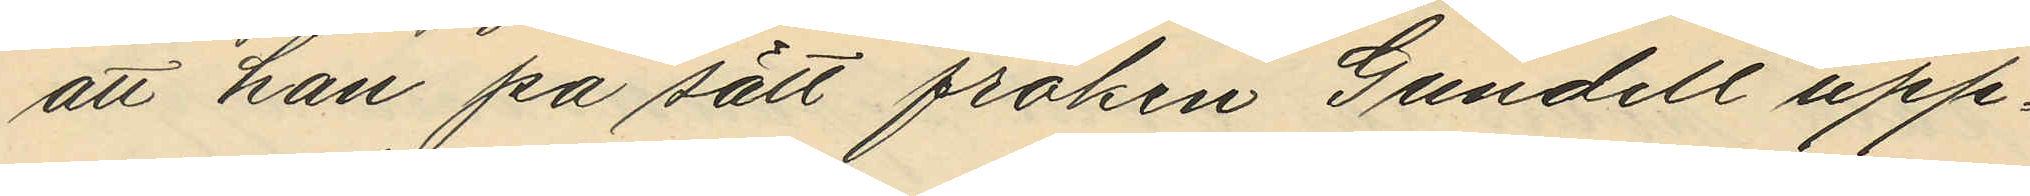att han på sätt fröken Gundell upp¬
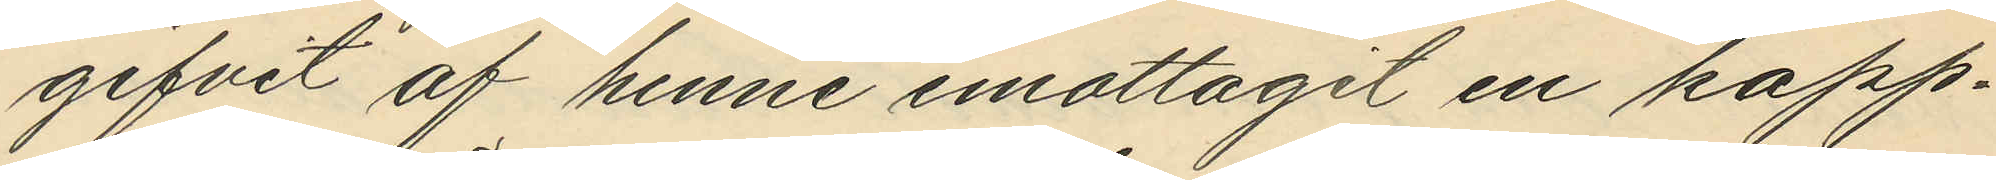gifvit af henne emottagit en kapp¬
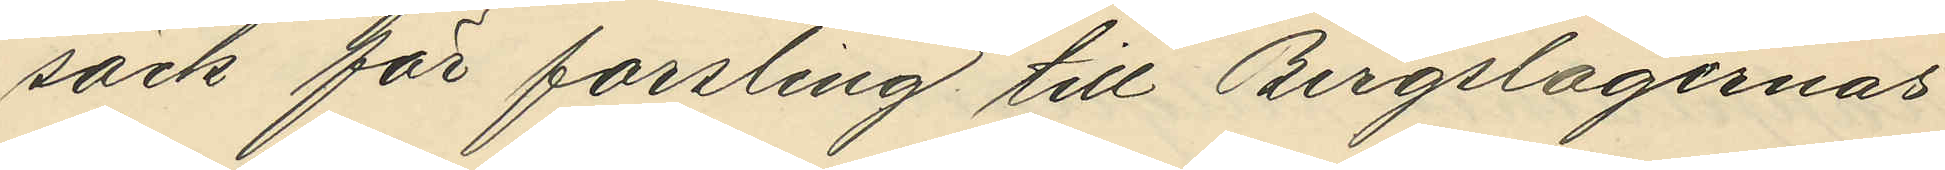säck för forsling till Bergslagernas
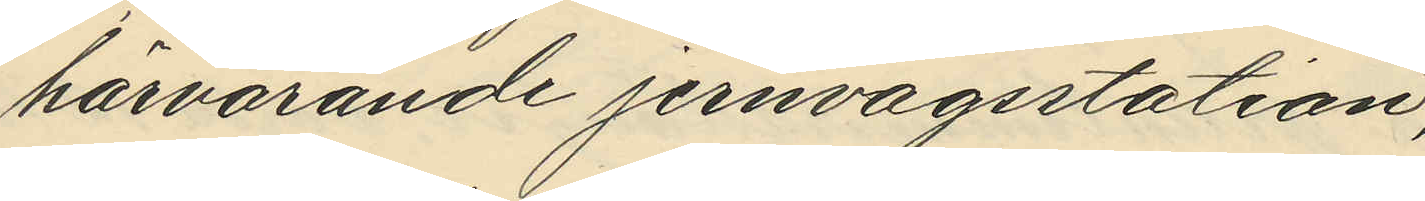härvarande jernvägsstation;
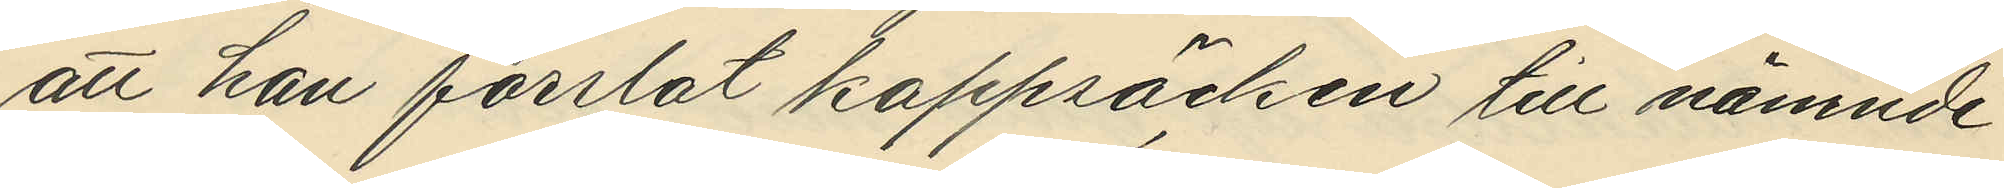att han forslat kappsäcken till nämnde
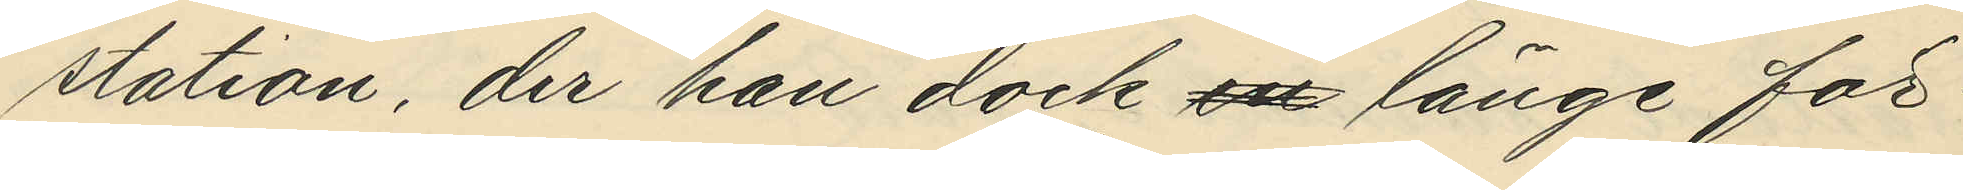station, der han dock en länge för¬
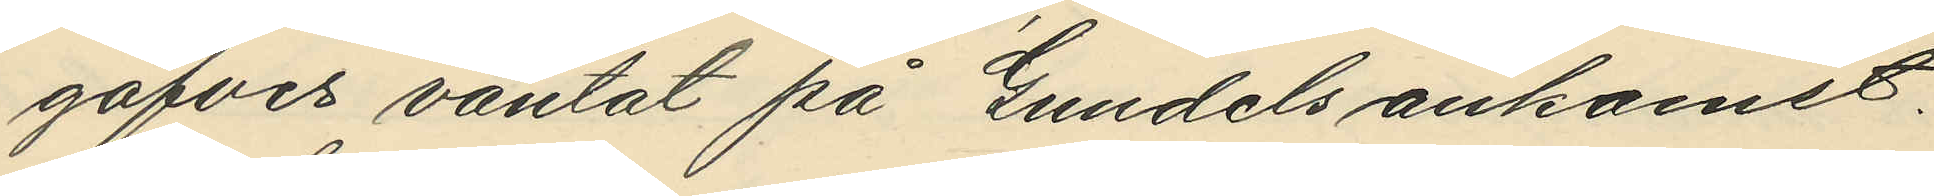gäfves väntat på Gundels ankomst,
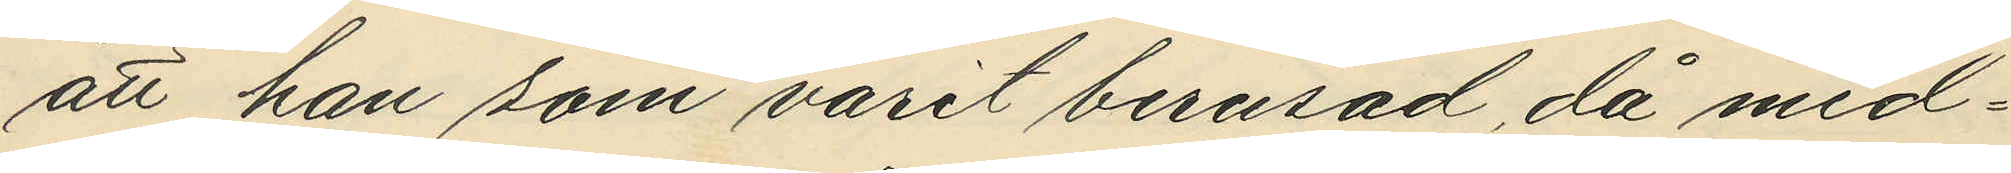att han som varit berusad, då med¬
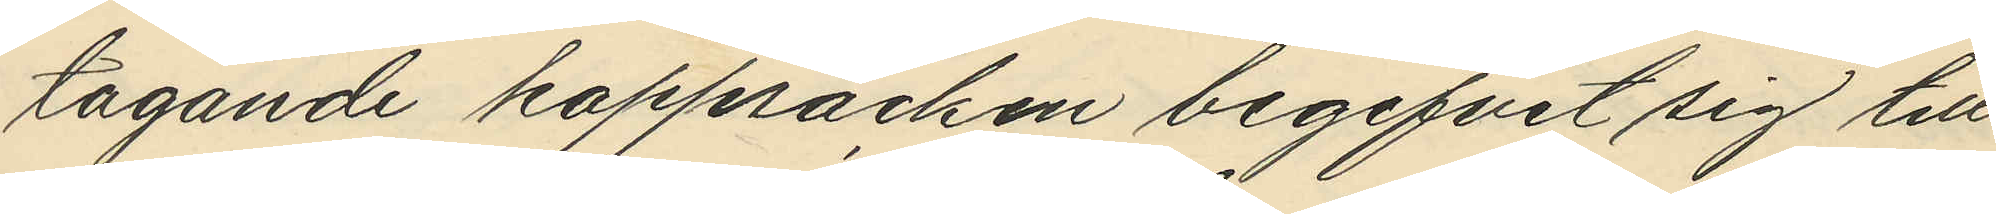tagande kappsäcken begifvit sig till
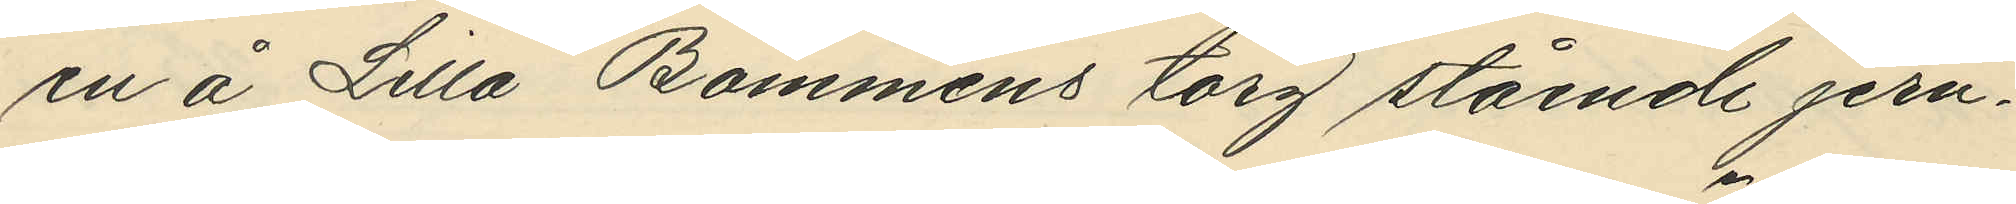en å Lilla Bommens torg stående jern¬
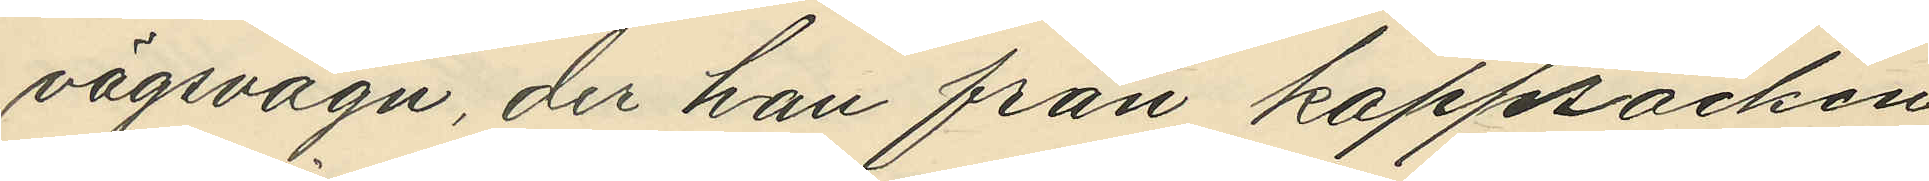vägsvagn, der han från kappsäcken
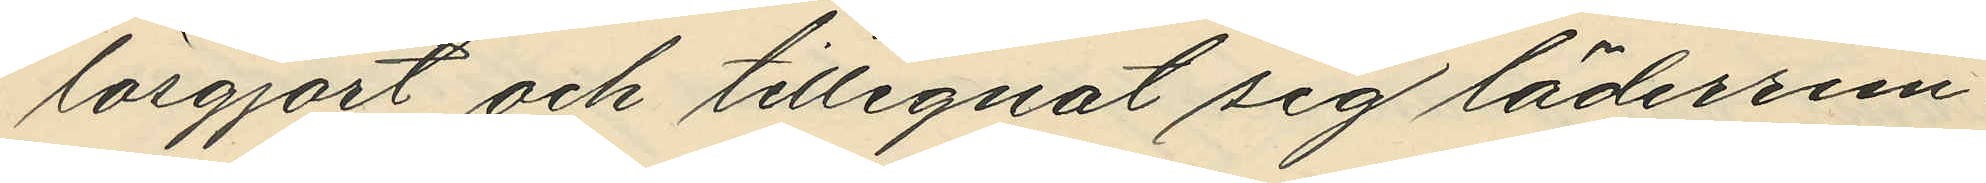lösgjort och tillegnat sig läderrem¬
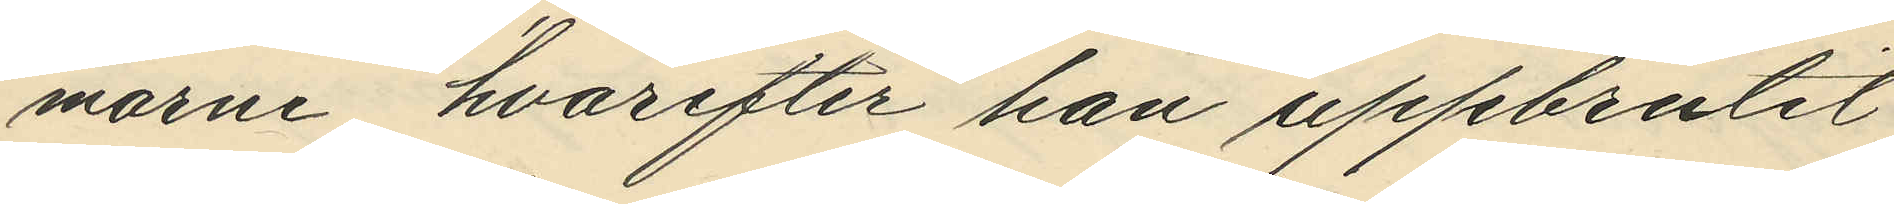marne, hvarefter han uppbrutit
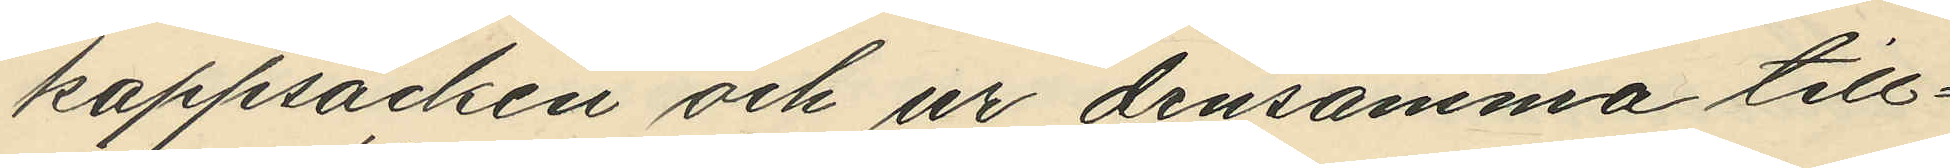kappsäcken och ur densamma till¬
